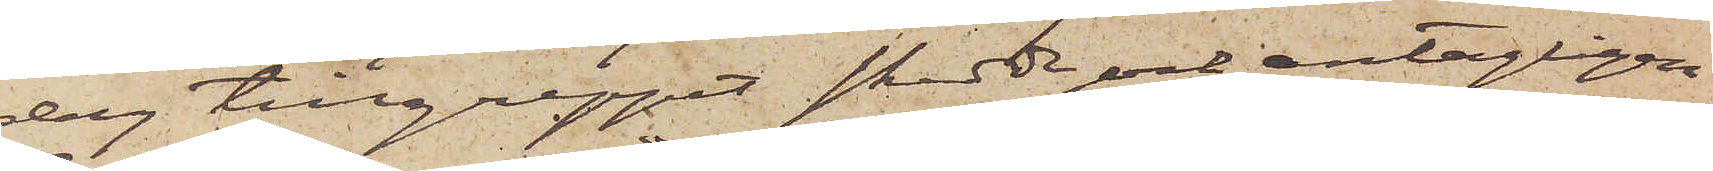dag tillgreppet skedde och antagligen
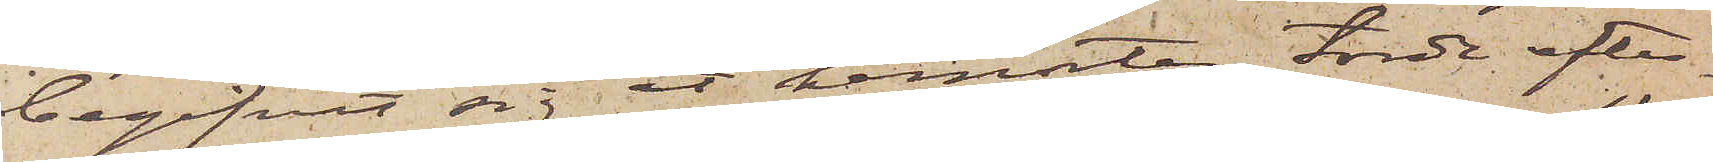begifvit sig åt hemorten, torde efter¬
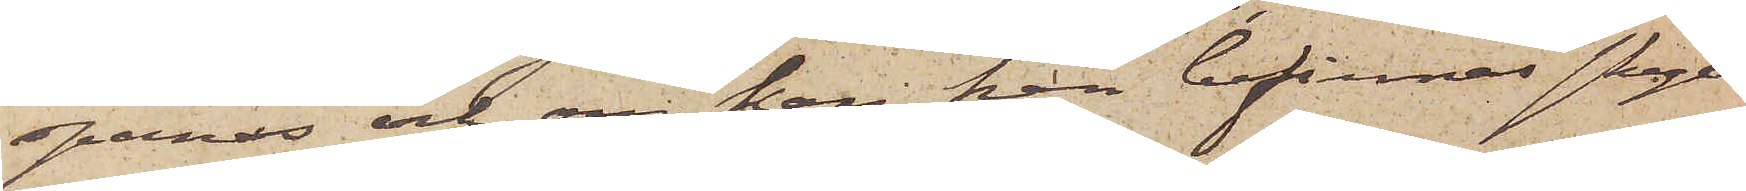spanas och, om han han befinnas skyl¬
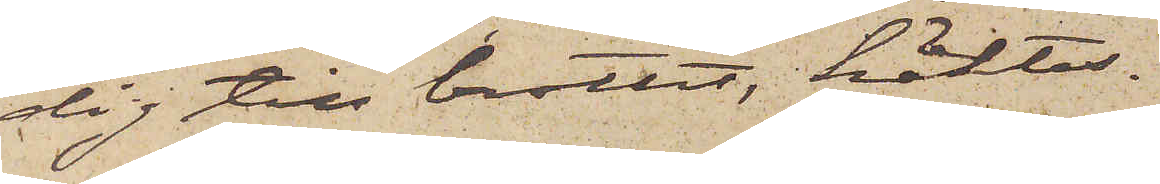dig till brottet, häktas.
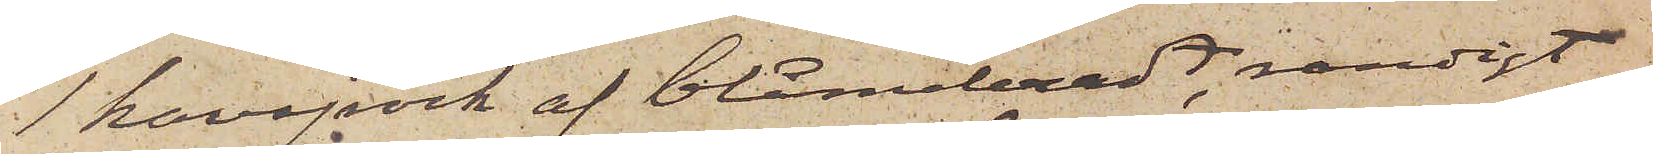1 kavajrock af blåmeleradt, randigt
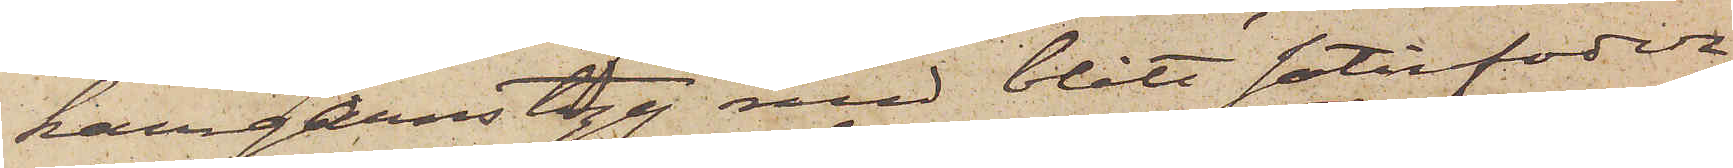kamgarnstyg med blått satinfoder,
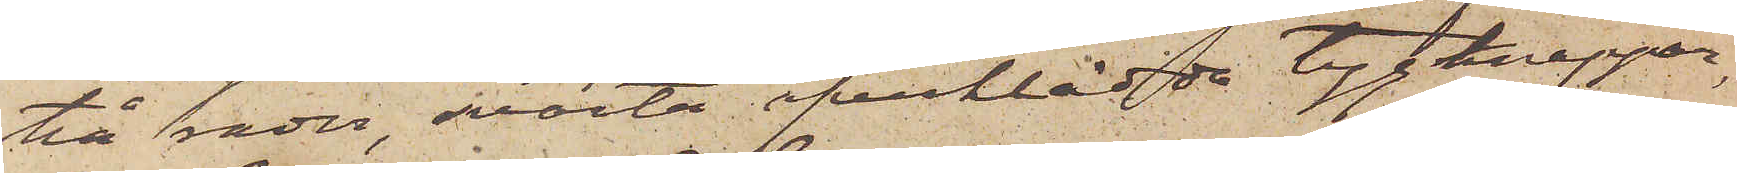två rader, svarta öfverklädda tygknappar,
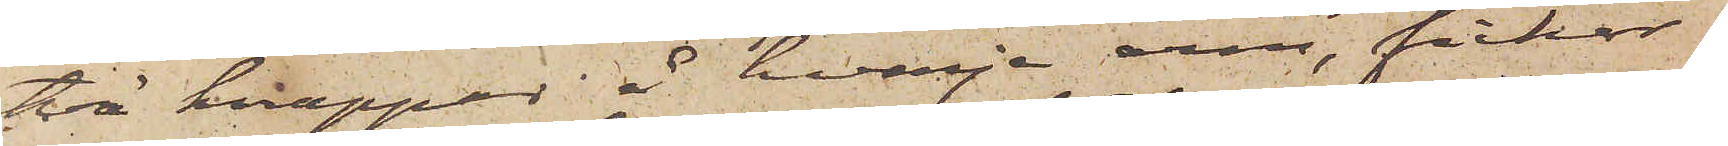två knappar i hvarje arm, fickor
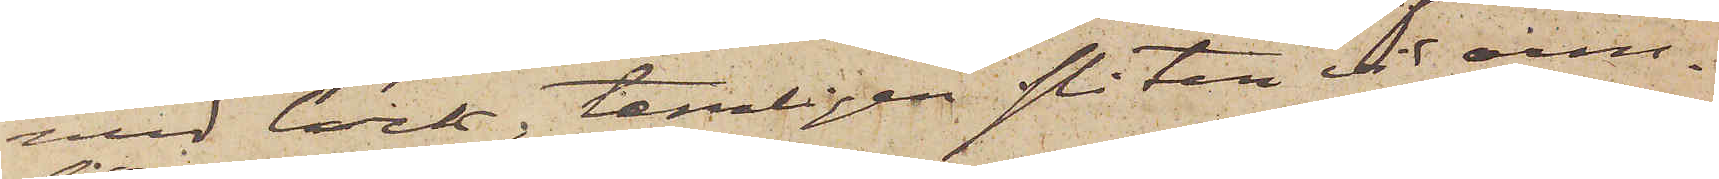med lock, temligen sliten vid arm¬
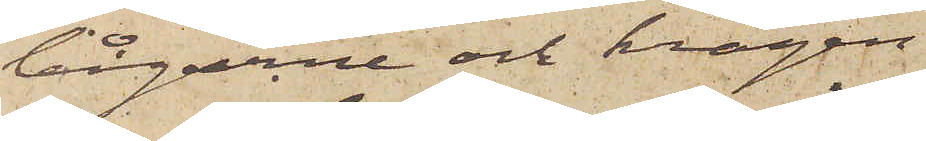bågarne och kragen.
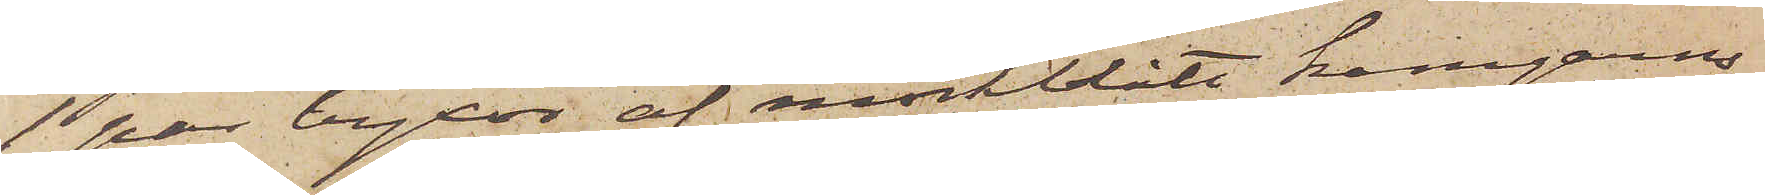1 par byxor af mörkblått kamgarns¬
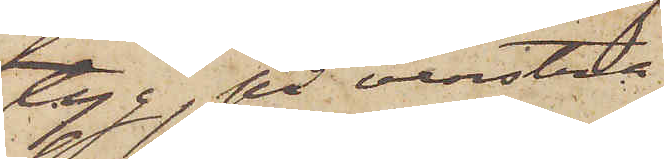tyg, på venstra
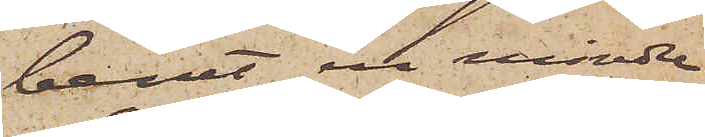benet en mindre
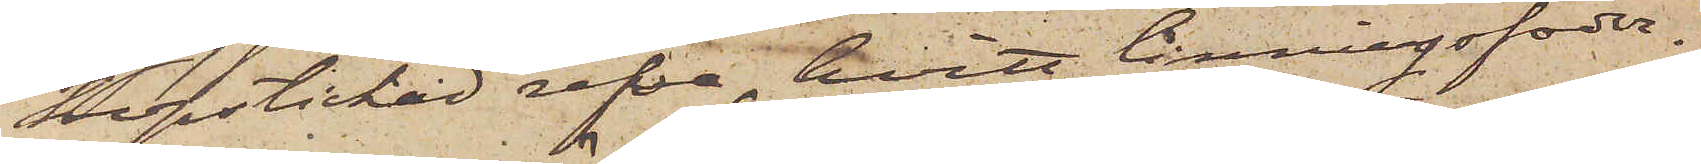hopstickad refva, hvitt linningsfoder.
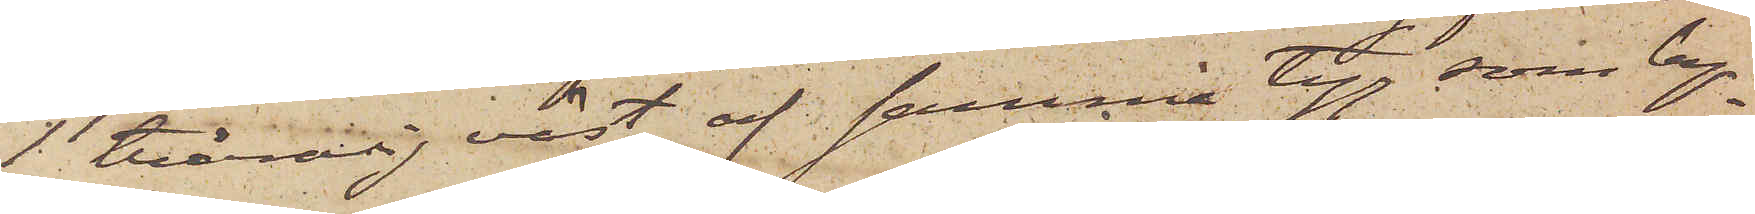1 tvåradig väst af samma tyg, som by¬
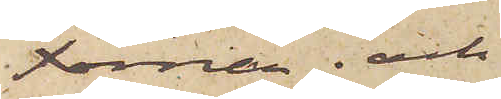xorna; och
